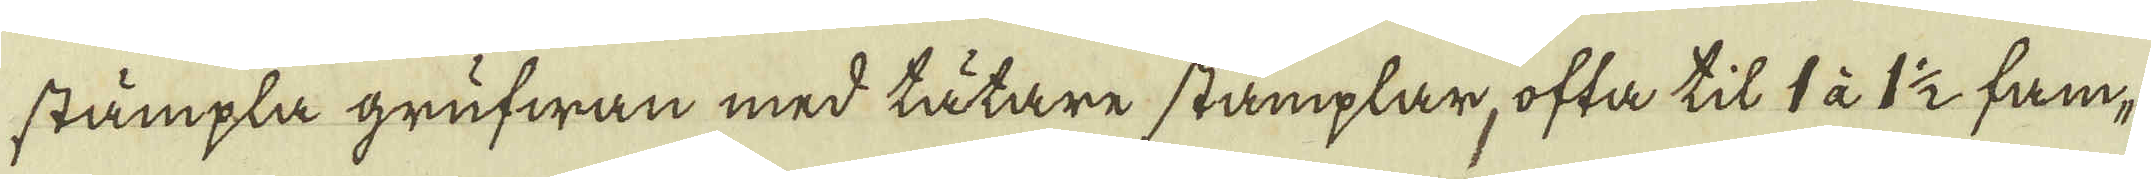stämpla grufwan med tätare stämplar, ofta til 1 à 1 1/2 fam-
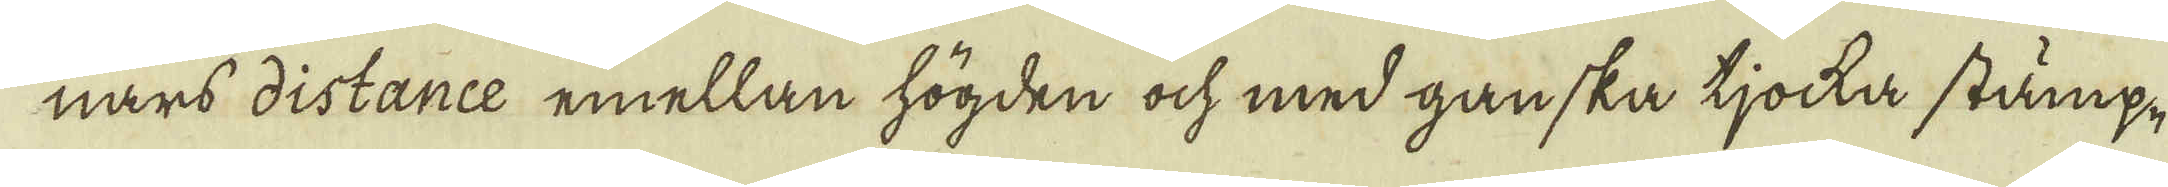nars distance emellan högden ock med ganska tjocka stämp-
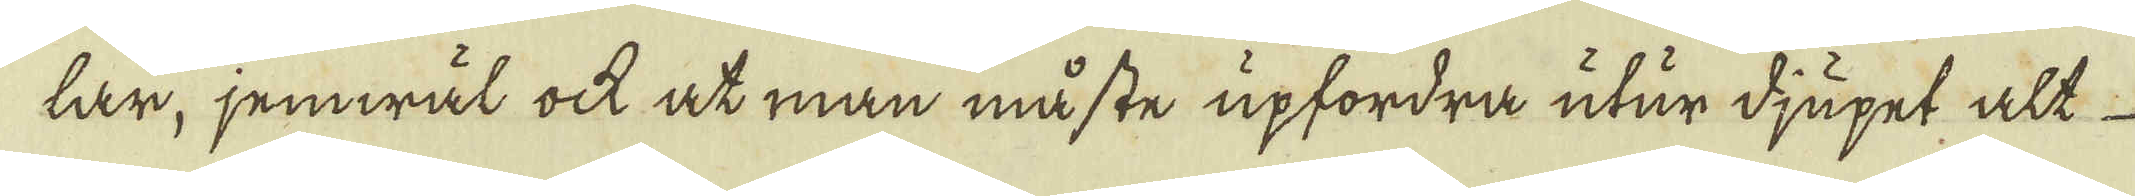tar, jemwäl ock at man måste upfordra utur djupet alt
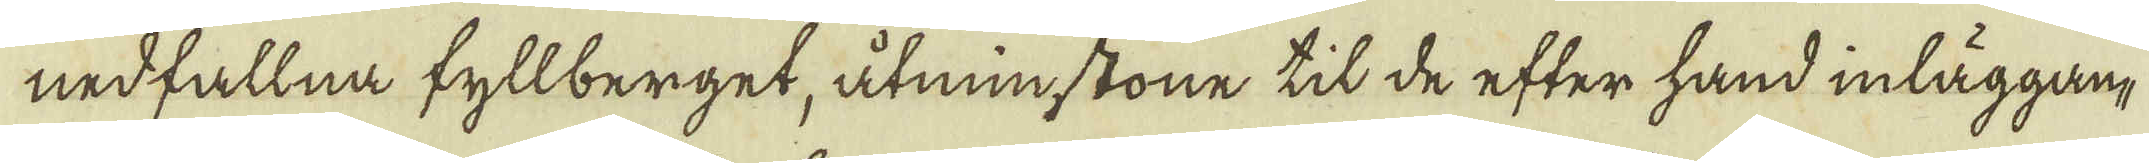nedfallna fyllberget, åtminstone til de efter hand inläggan-
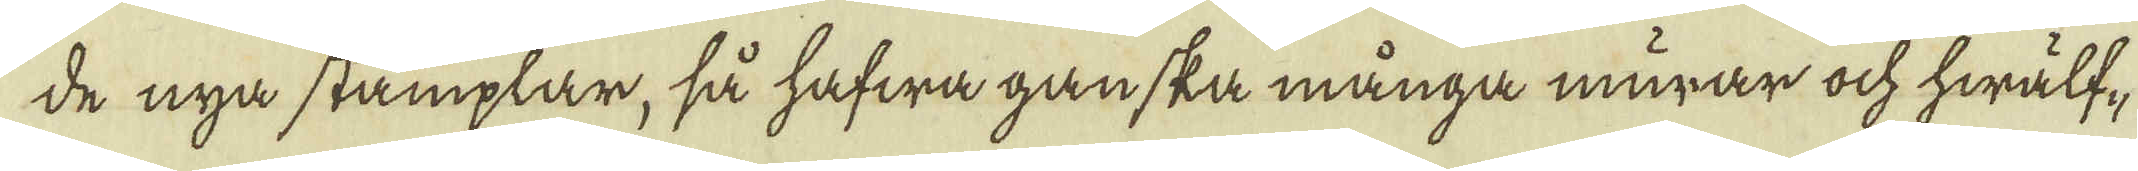de nya stämplar, så hafwa ganska många murar ock hwälf-
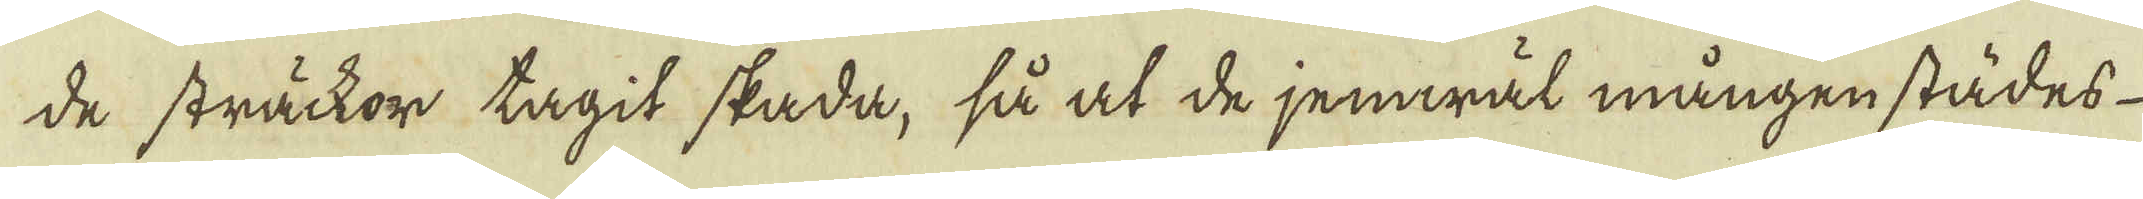de sträckor tagit skada, så at de jemwäl mången städes
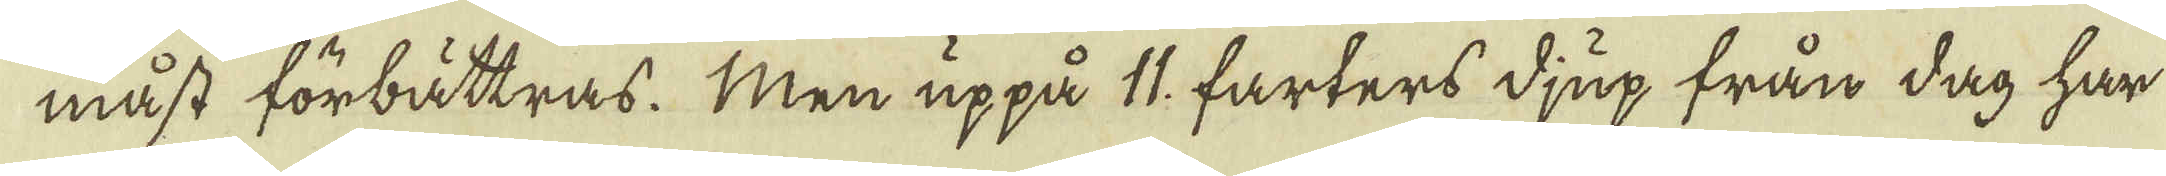måst förbättras. Men uppå 11. farters djup från dag har
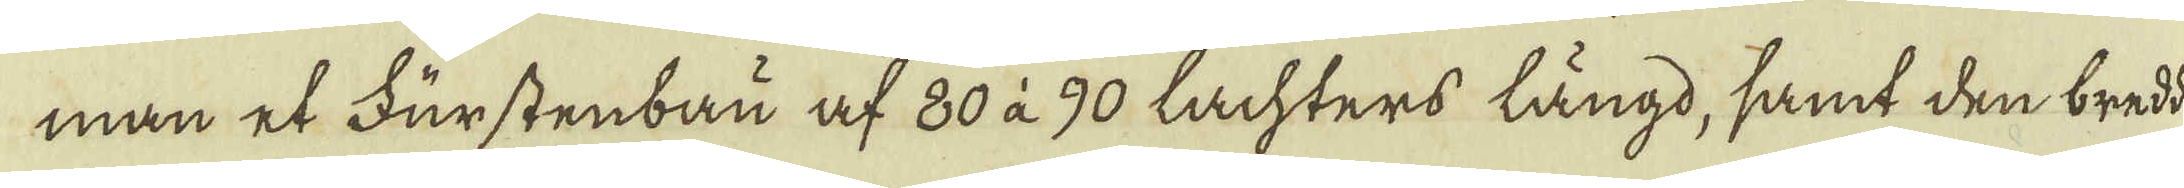man et Furstenbau af 80 à 90 lachters längd, samt den bredd
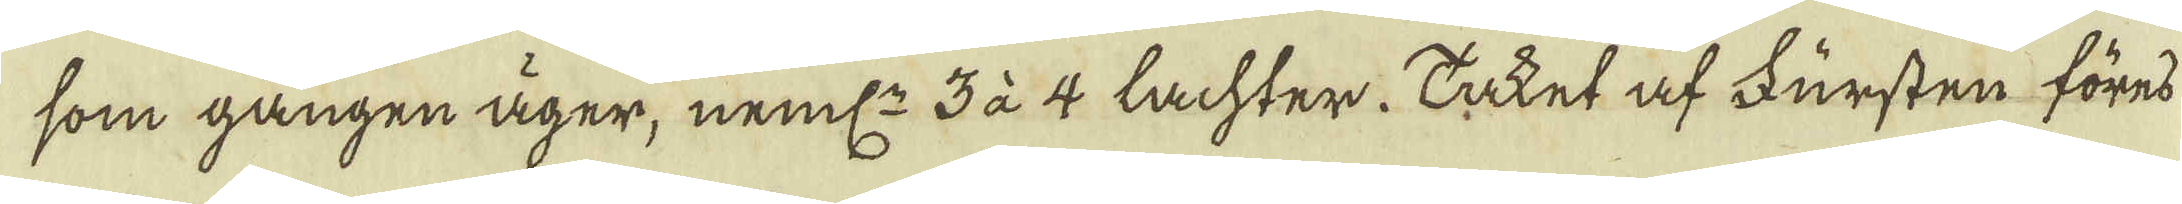som gången äger, neml: 3 à 4 lachter. Taket af Fursten föres
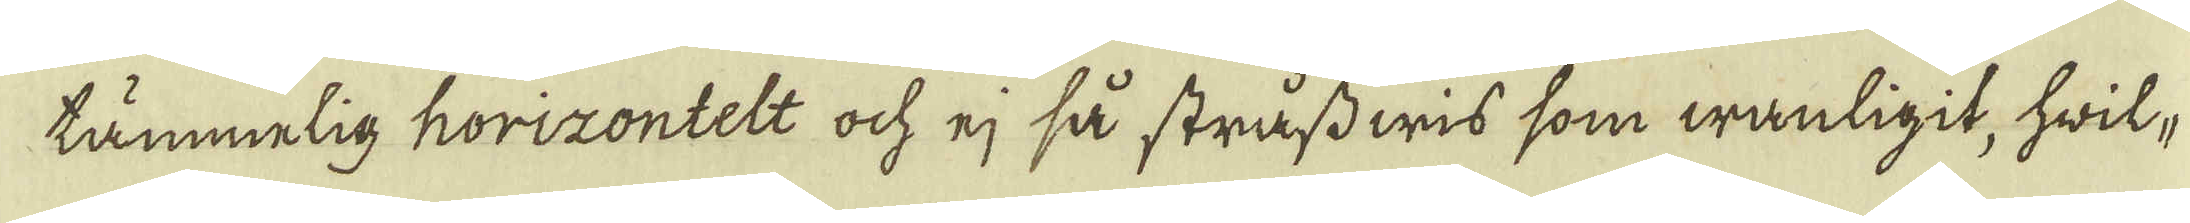tämmelig horizontelt och ej så strass wis som wanligit, hwil-
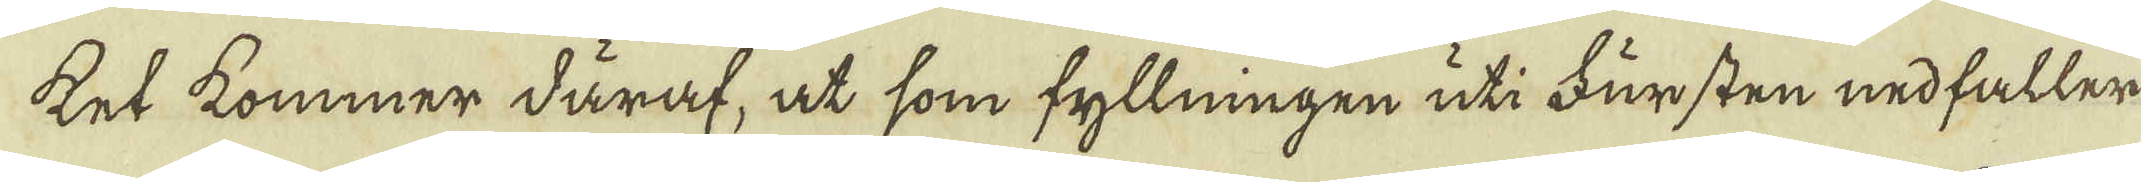ket kommer däraf, at som fyllningen uti Fursten nedfaller
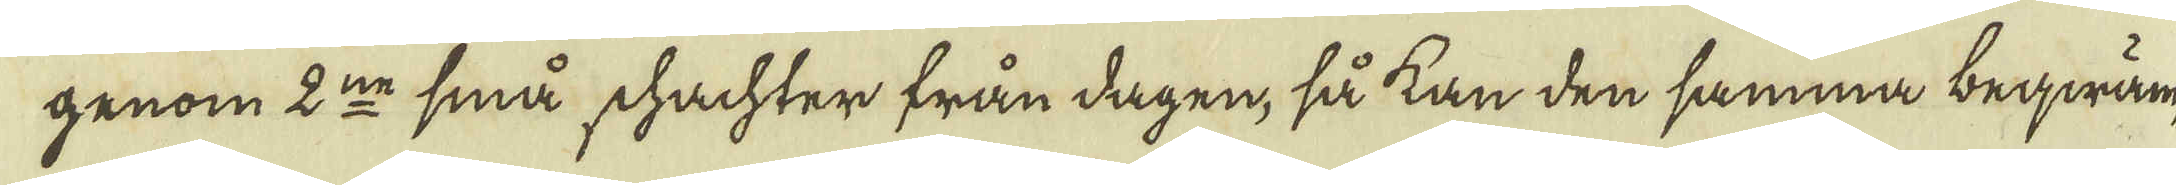genom 2:ne små schachter från dagen, så kan den samma beqwäm-
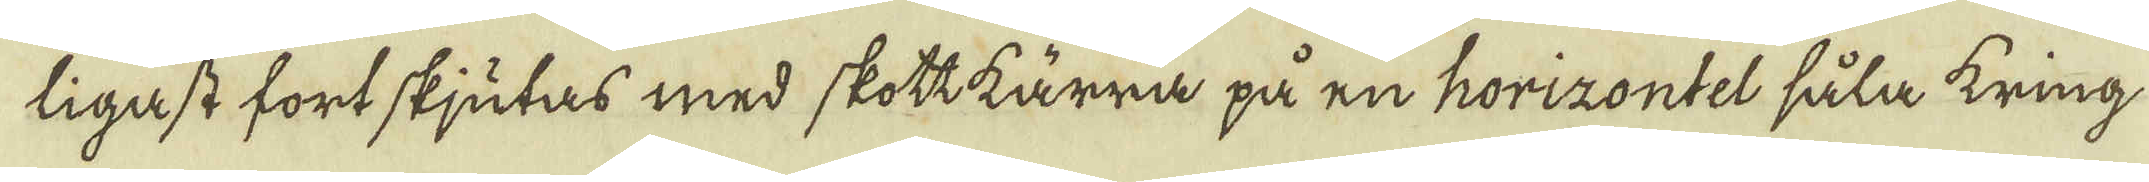ligast fortskjutas med skott kärra på en horizontel såla kring
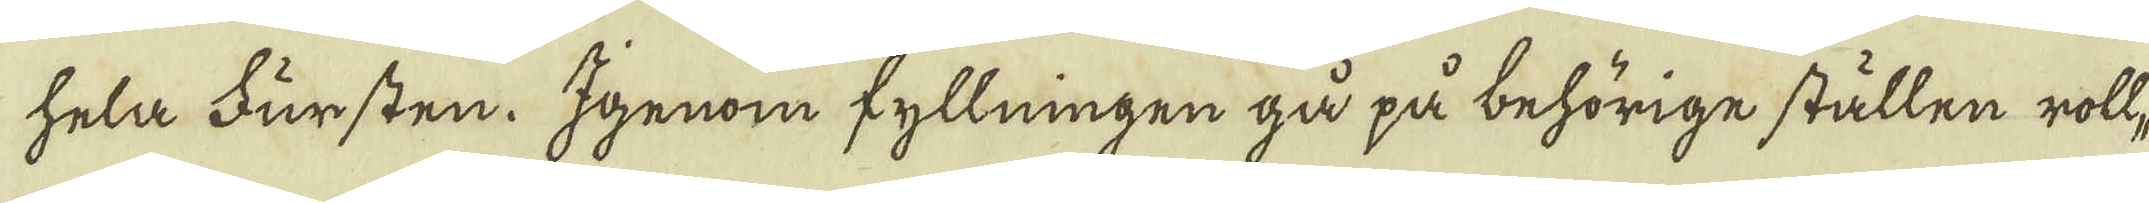hela Fursten. Igenom fyllningen gå på behörige ställen rolt-
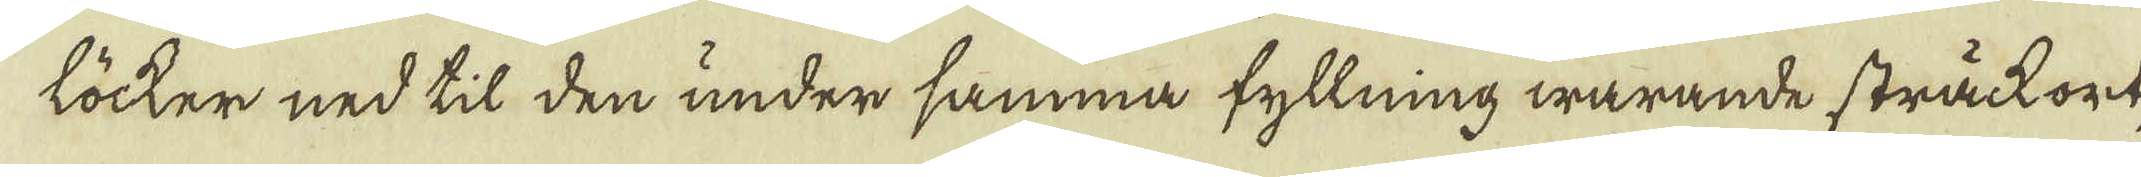löcker ned til den under samma fyllning warande sträck ort,
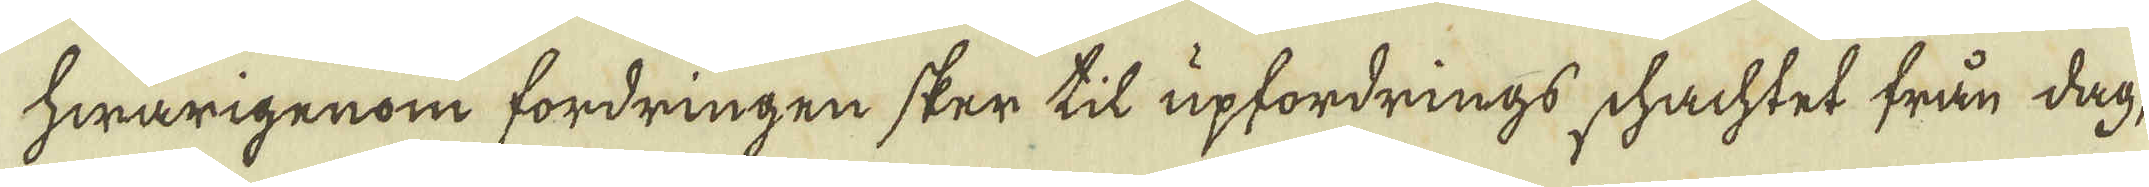hwarigenom fordringen sker til upfordrings schachtet från dag,
